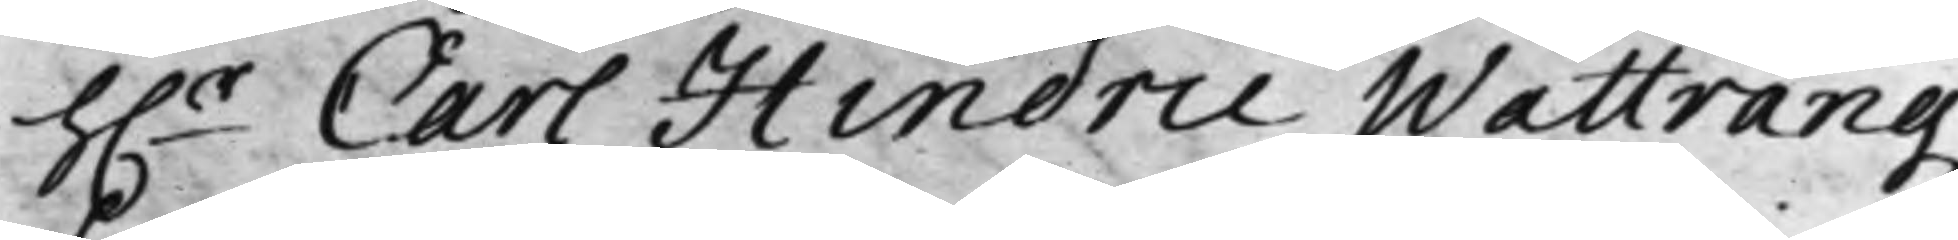h.r Carl Hindric Wattrangz
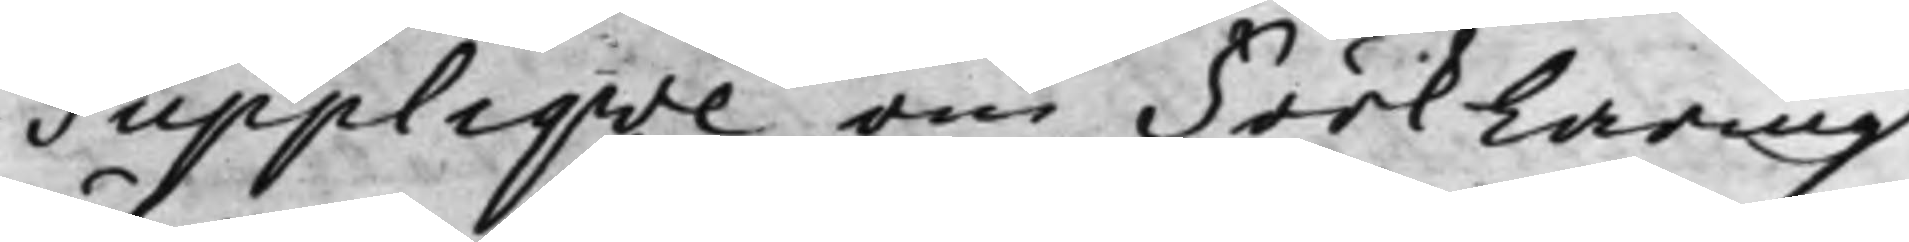Suppliqve om Förklaring
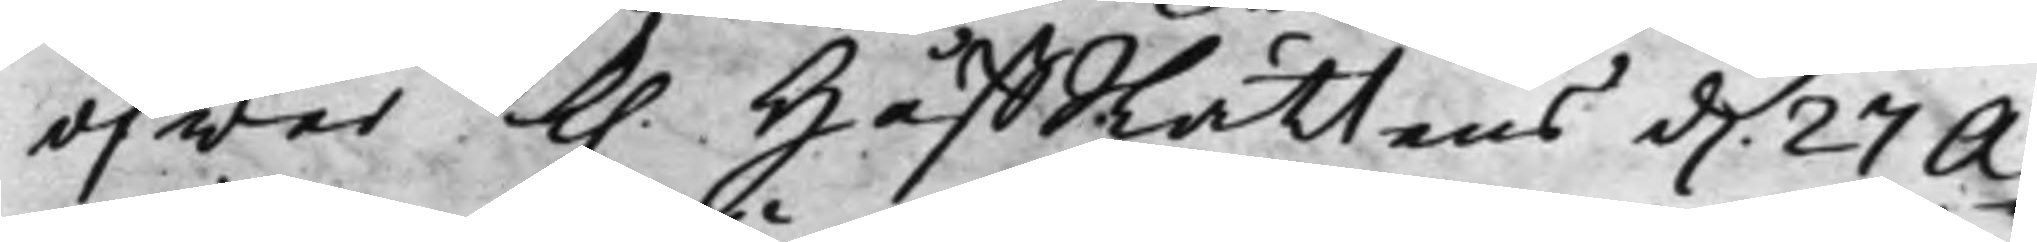öfwer K. HåffRättens d. 27 A¬
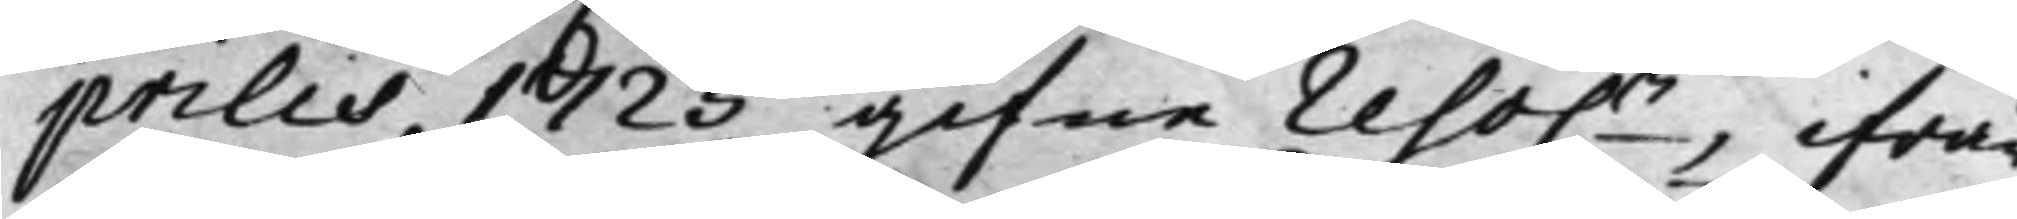prilis 1725 gifne reso.n, ifrån
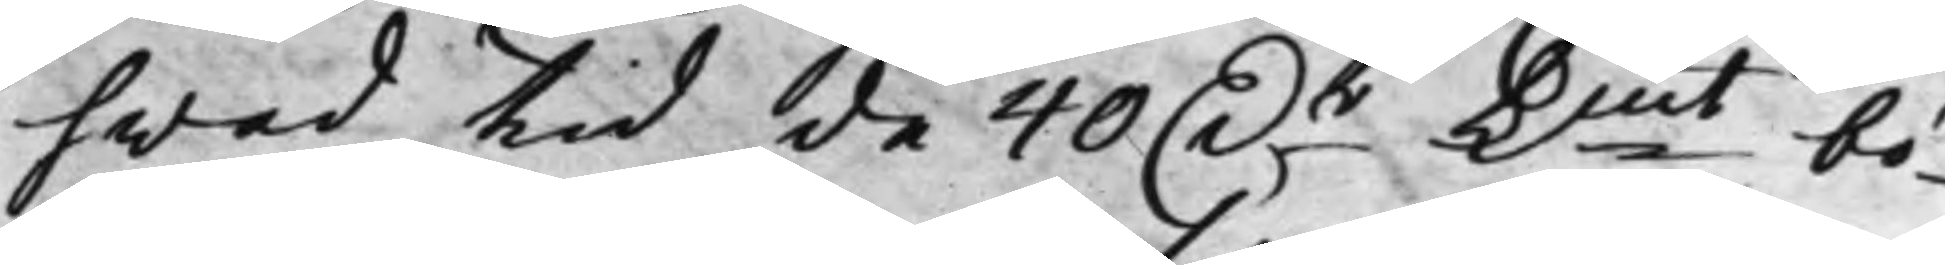hwad tid de 40 D.r Kmt bö¬
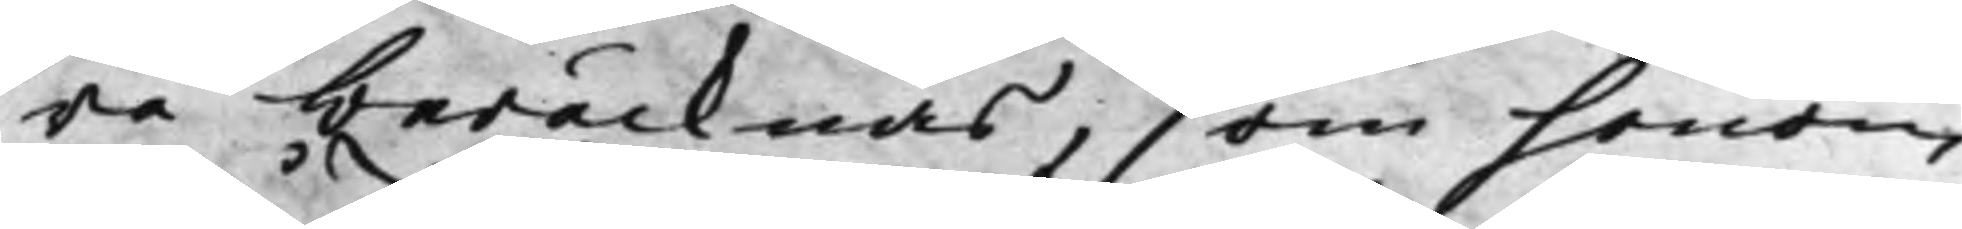ra beräcknas, som honom
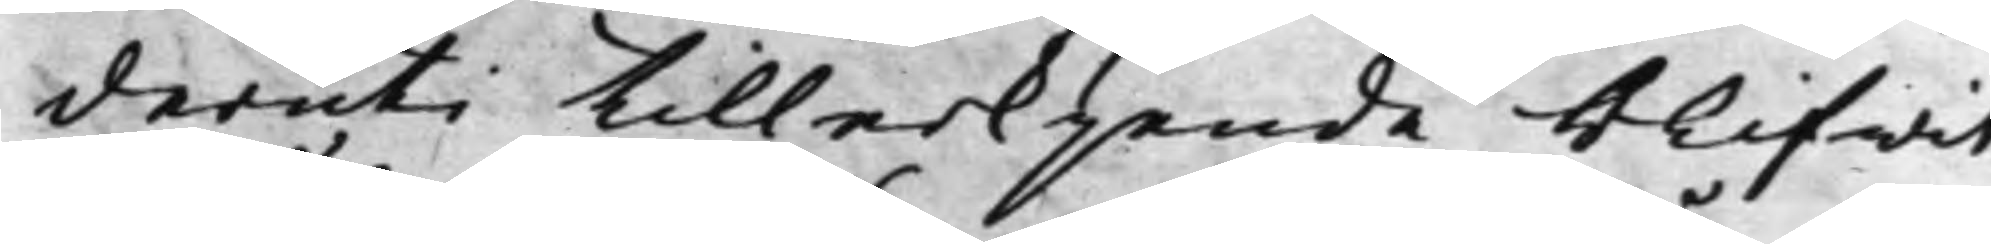deruti tillerkjende blifwit
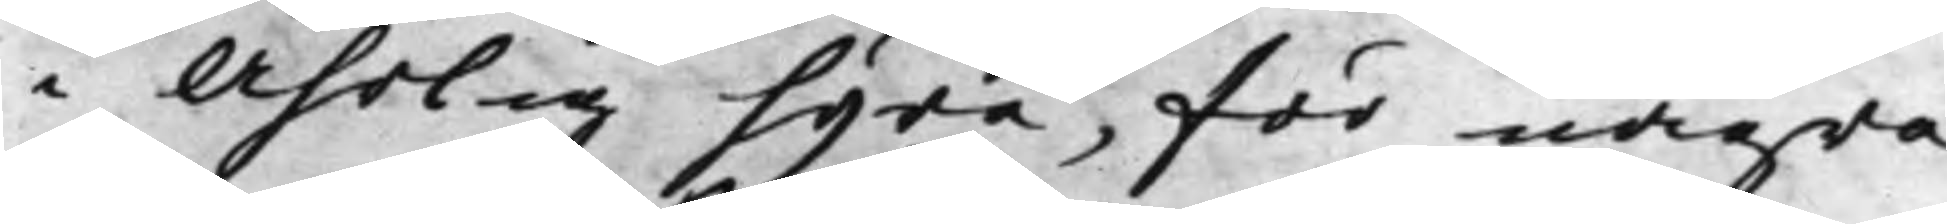i Åhrlig hyra, för några
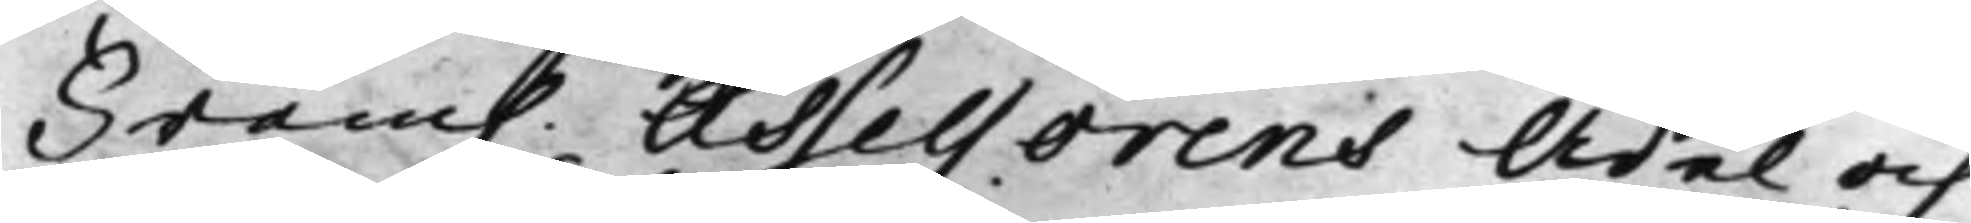Fram. Assessorens Ädel och
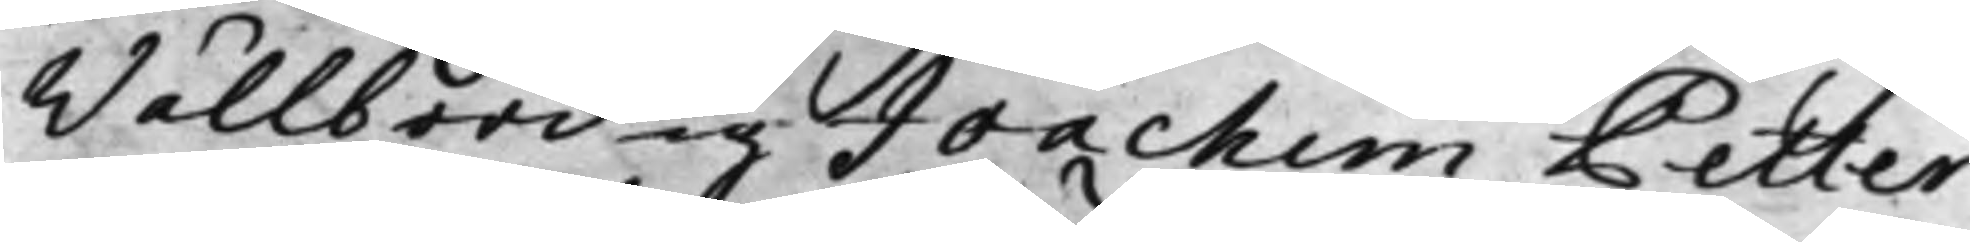Wälbördig Joachim Petter
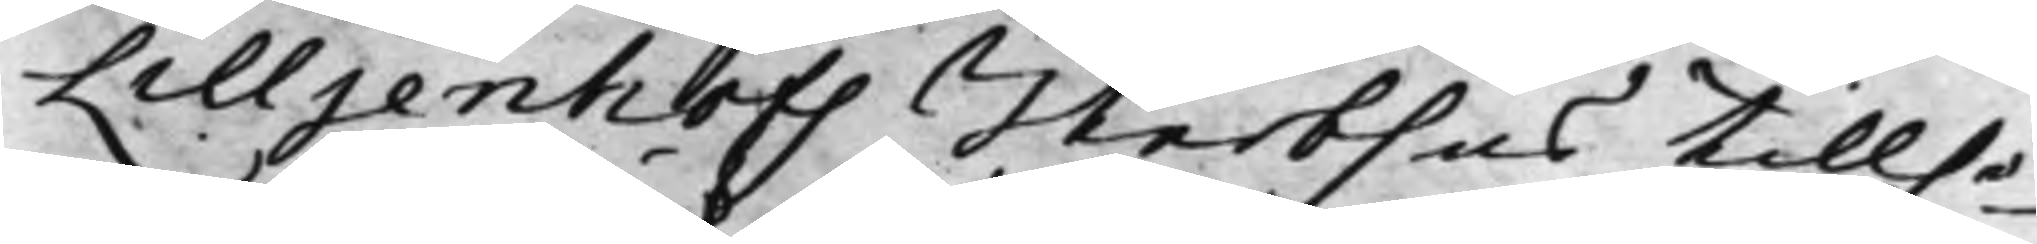Lilljenhofs Sterbhus tillhö¬
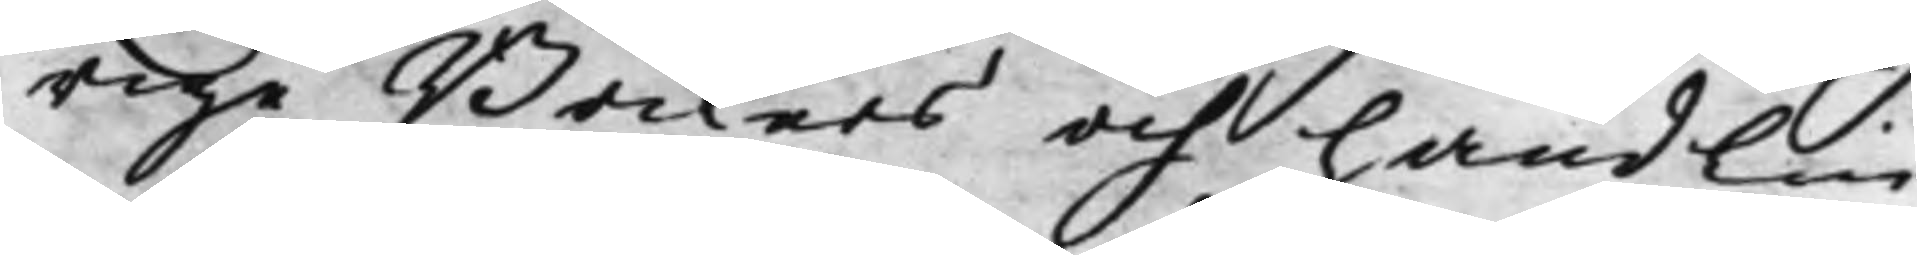rige Böckers och handling¬
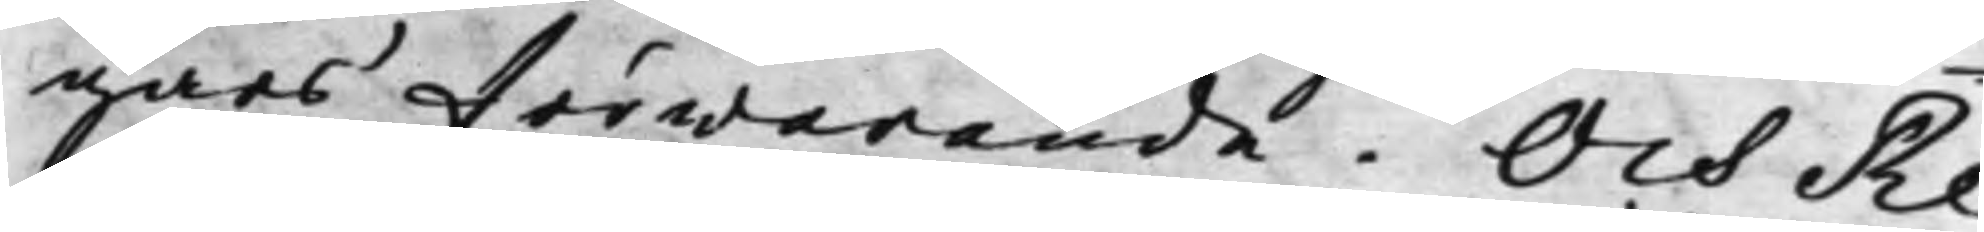gars förwarande. Och Re¬
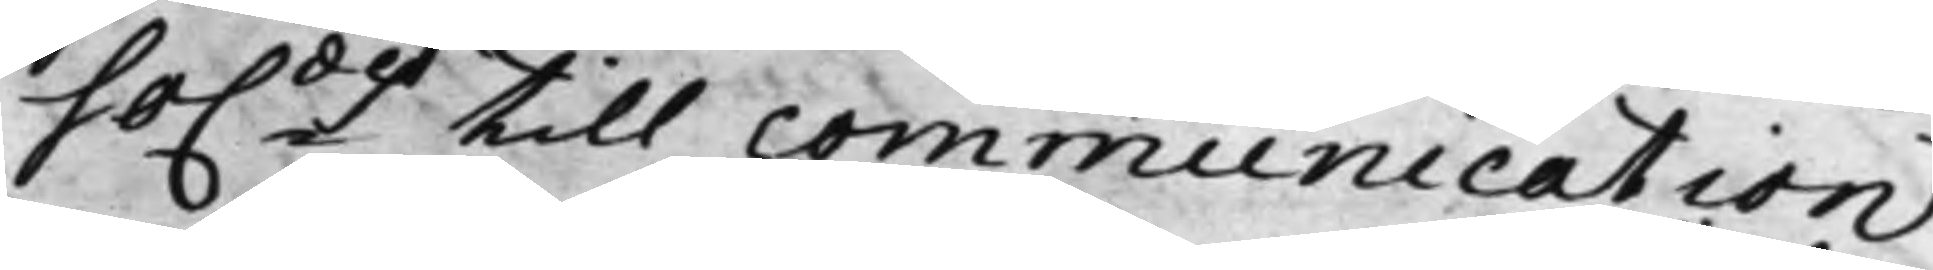so.des till communication
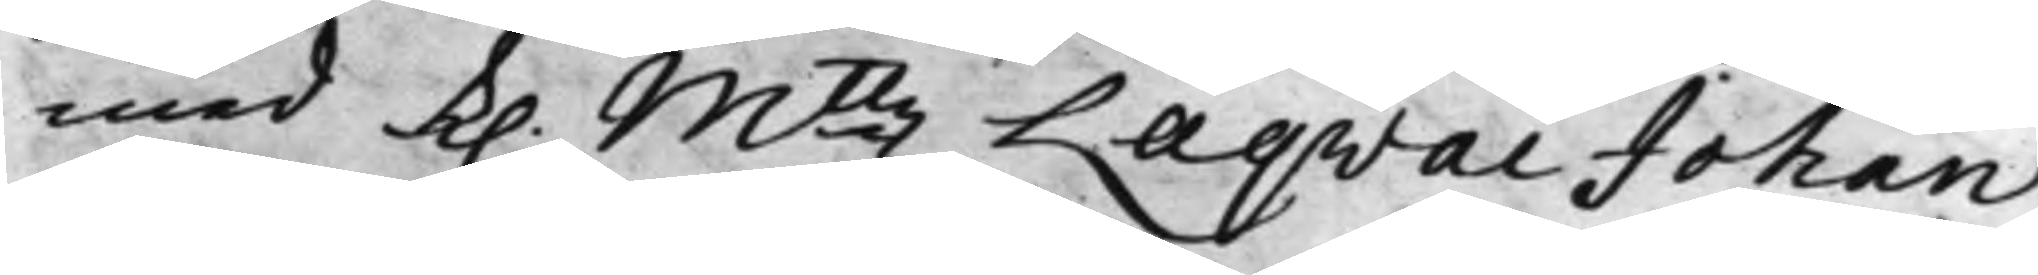med K. Mttz Laqvai Johan
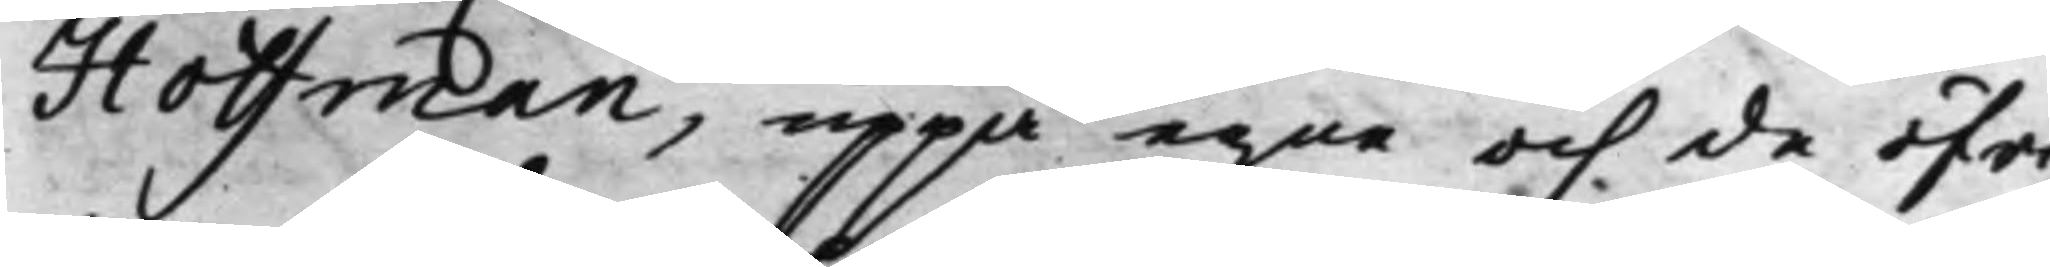Hoffman, uppå egne och de öfri¬
